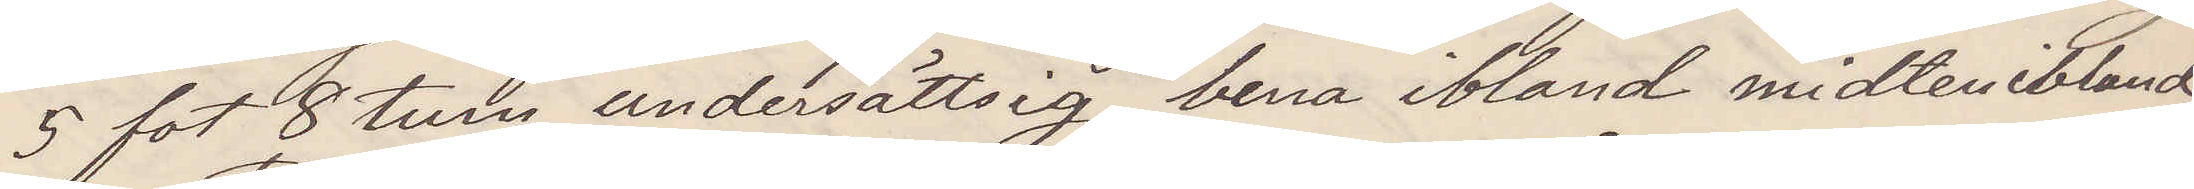5 fot 8 tum, undersättsig, bena ibland midten ibland
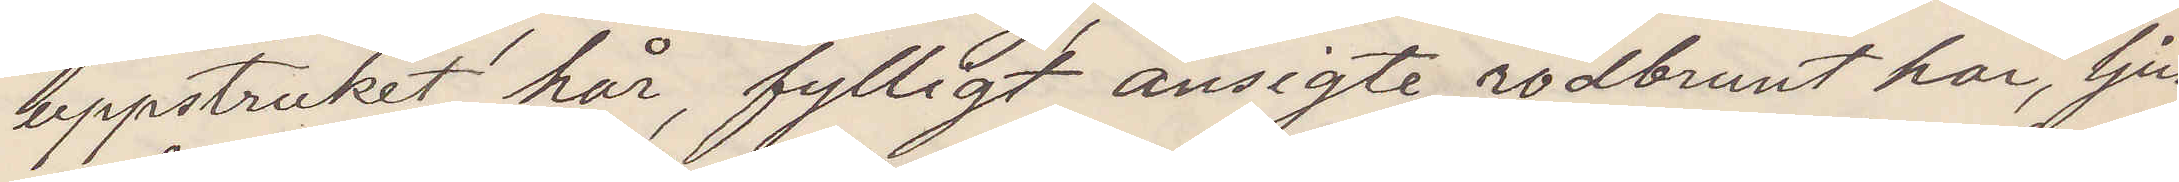uppstruket hår, fylligt ansigte, rödbrunt hår, ljus¬
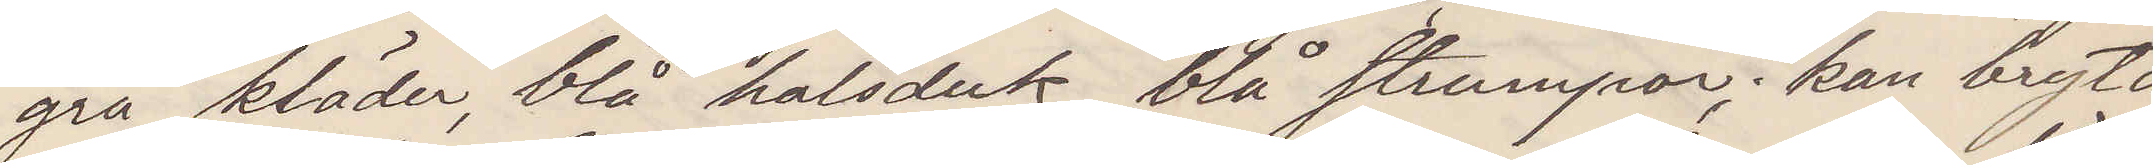grå kläder, blå halsduk, blå strumpor, kan bryta
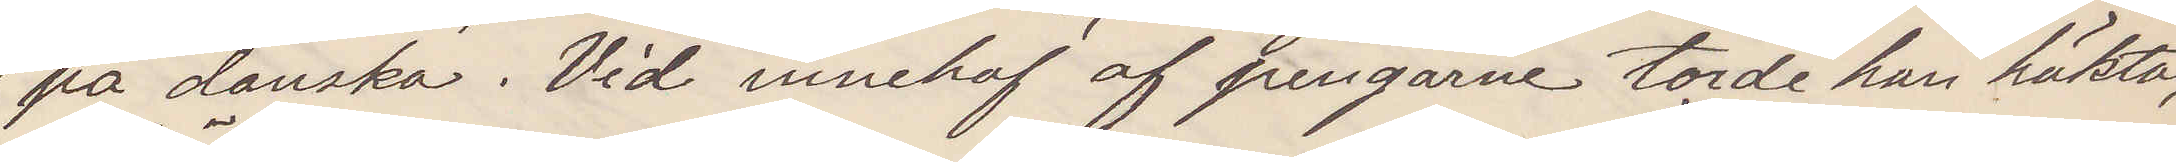på danska. Vid innehaf af pengarne torde han häktas,
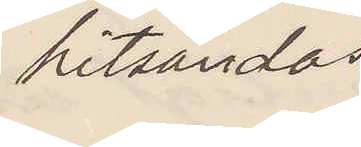hitsändas
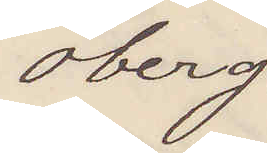Öberg.
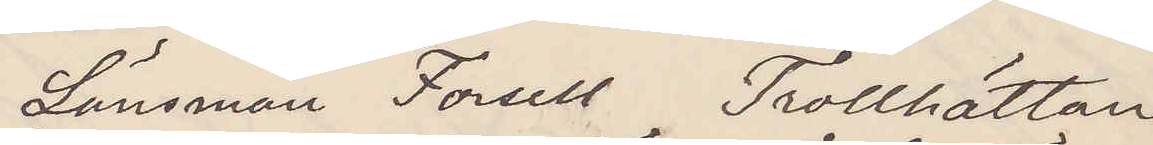Länsman Forsell Trollhättan.
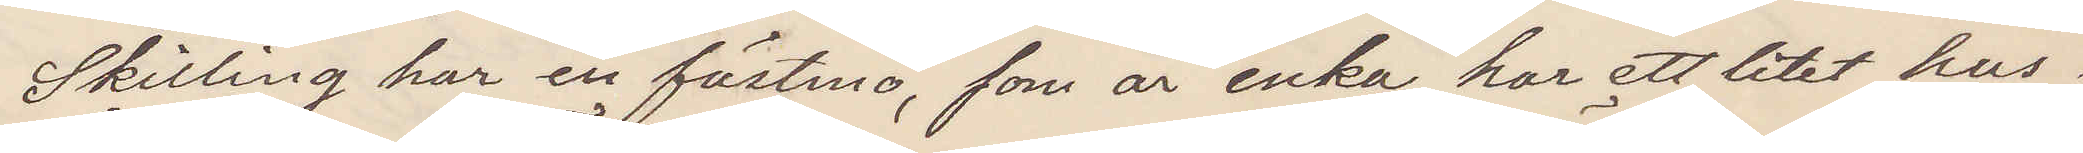Skilling har en fästmö, som är enka har ett litet hus i
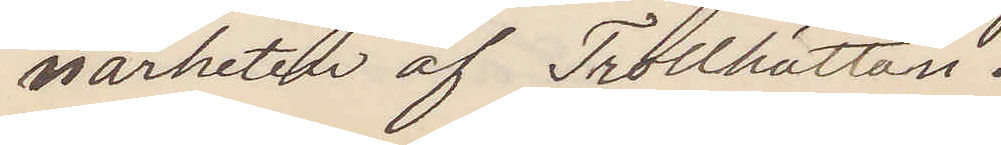närheten af Trollhättan.
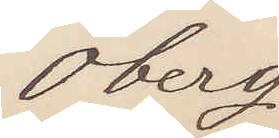Öberg.
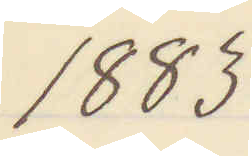1883
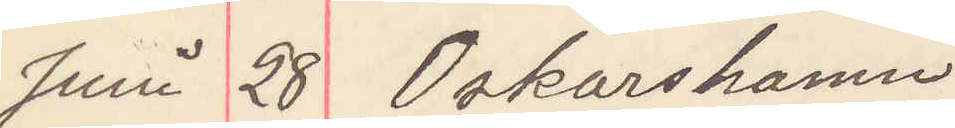Juni 28 Oskarshamn
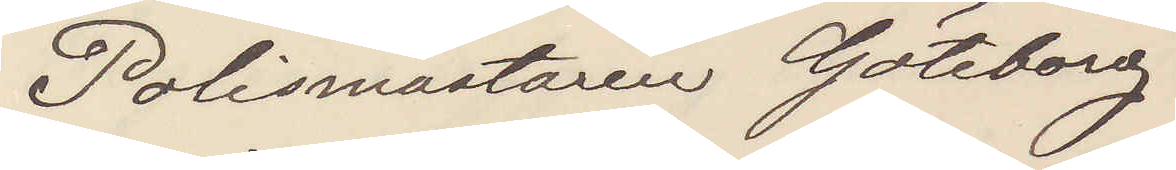Polismästaren Göteborg
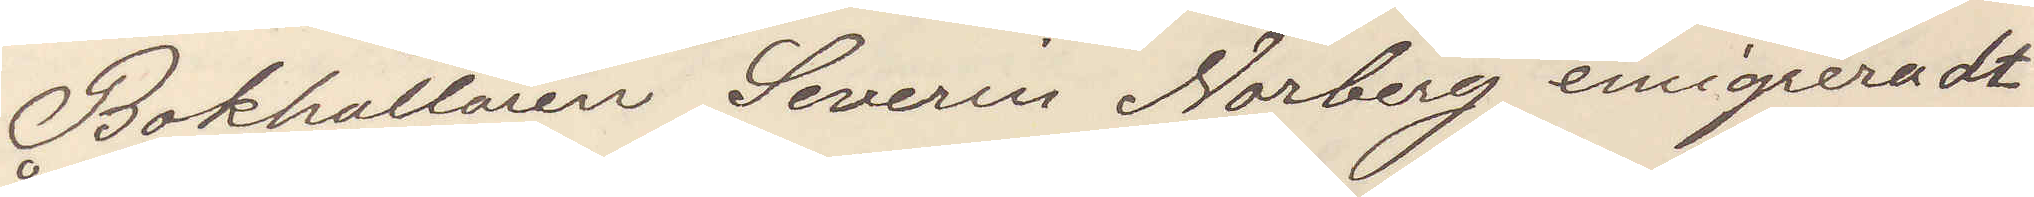Bokhållaren Severin Norberg emigrerade
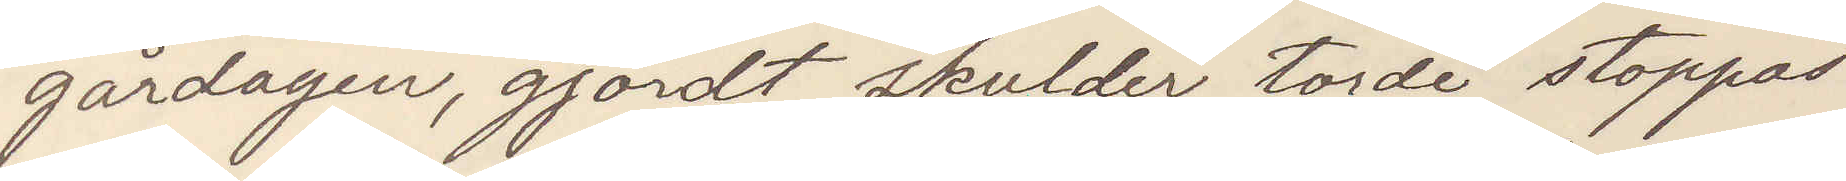gårdagen, gjordt skulder, torde stoppas
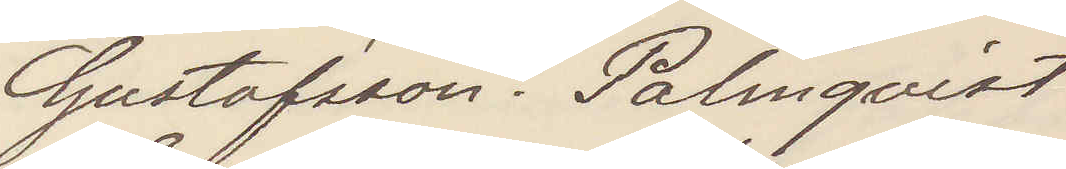Gustafsson Palmqvist
